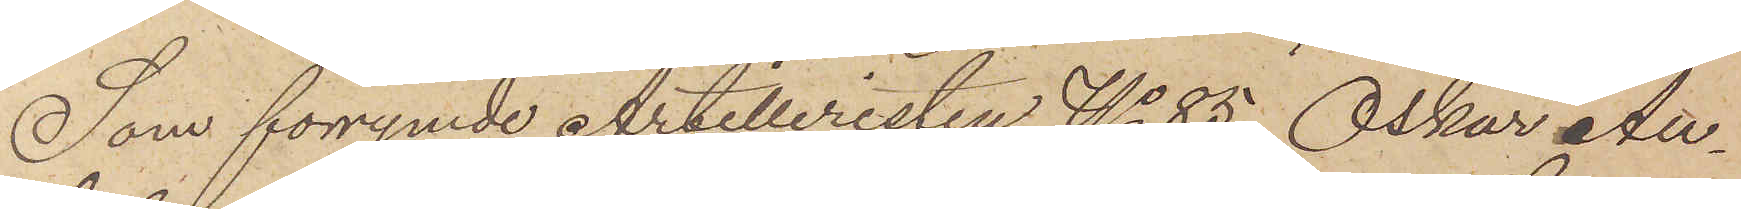Som förrymde Artilleristen No 85 Oskar Au¬
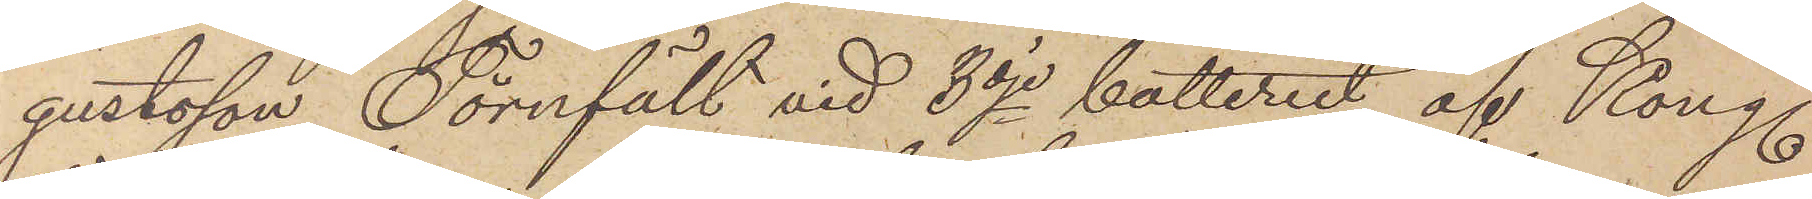gustsson Törnfält vid 3dje batteriet af Kongl.
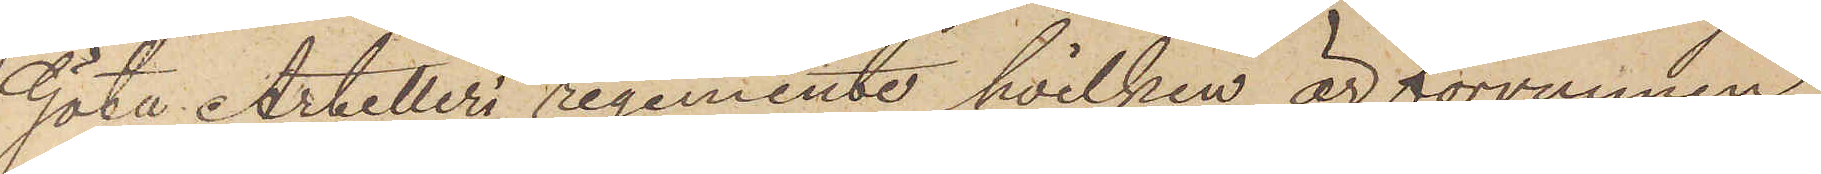Göta Artilleri regemente, hvilken är förvunnen
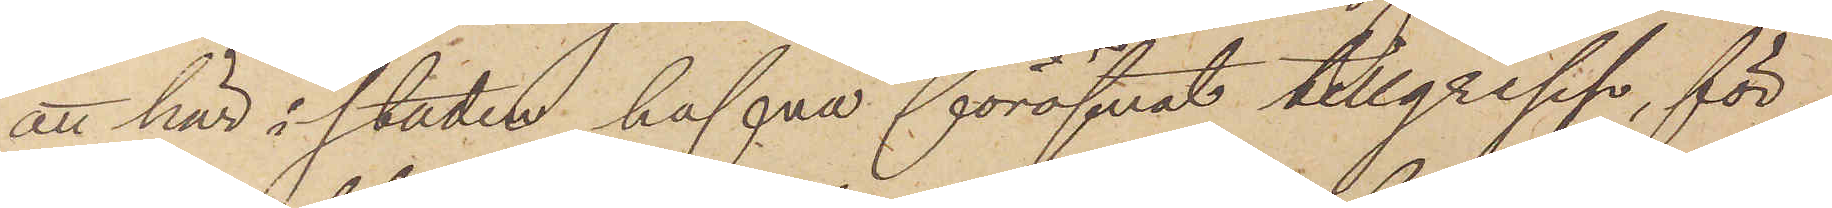att här i staden hafva föröfvat tillgrepp, för¬
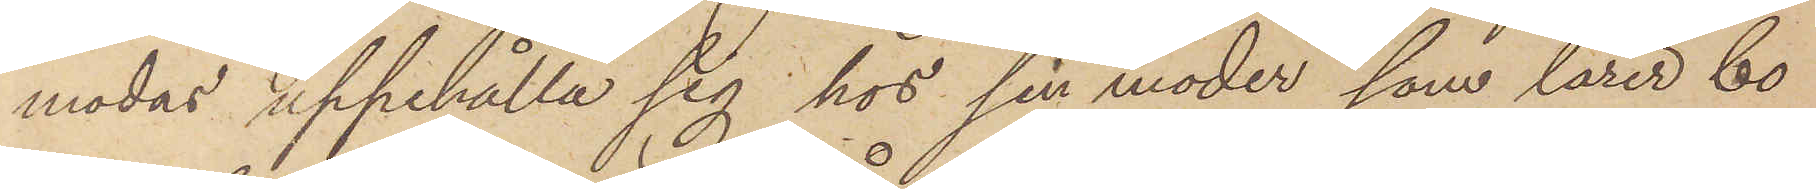modas uppehålla sig hos sin moder, som lärer bo
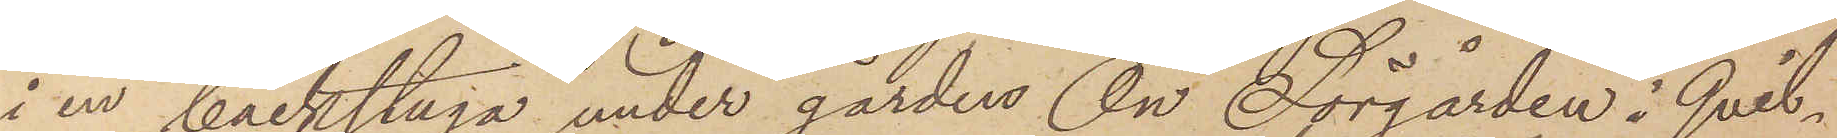i en backstuga under gården Ön Sörgården i Qvil¬
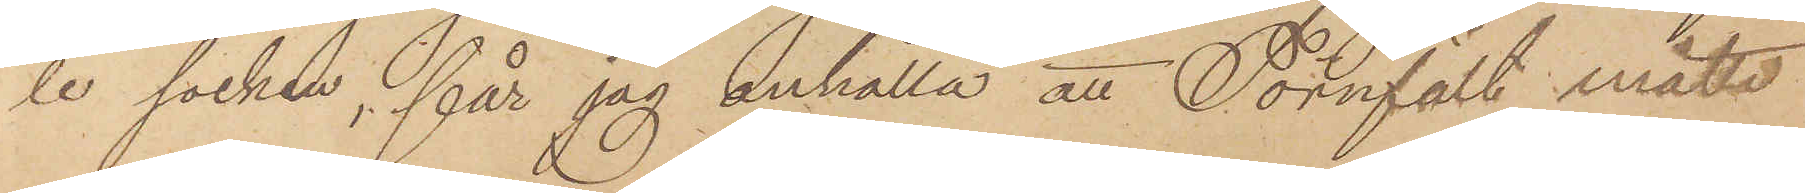le socken, får jag anhålla att Törnfält måtte
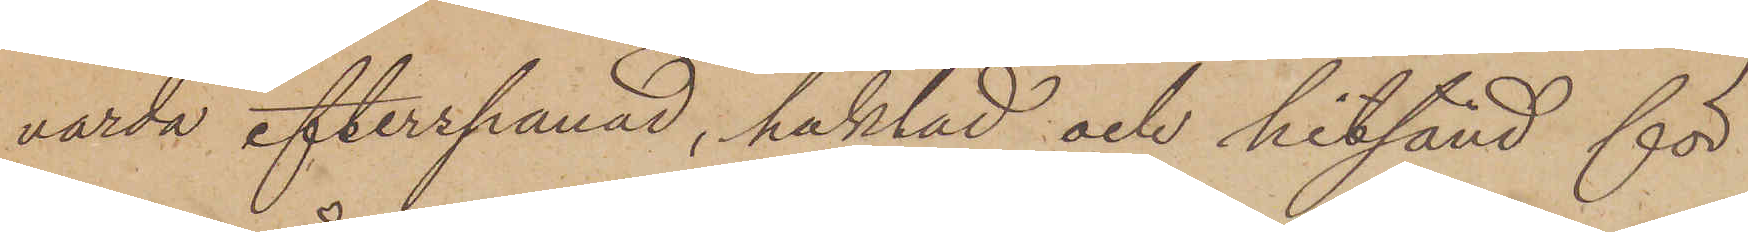varda efterspanad, häktad och hitsänd för
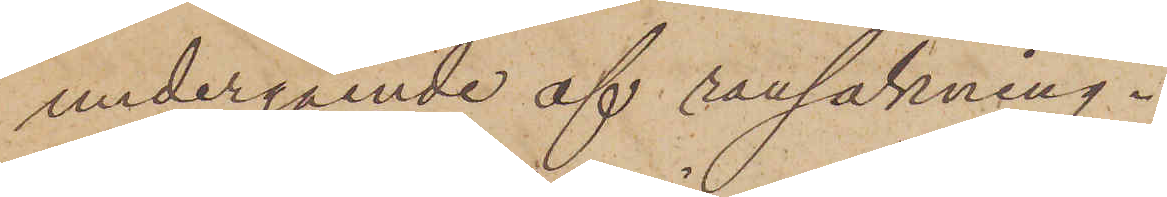undergående af ransakning.
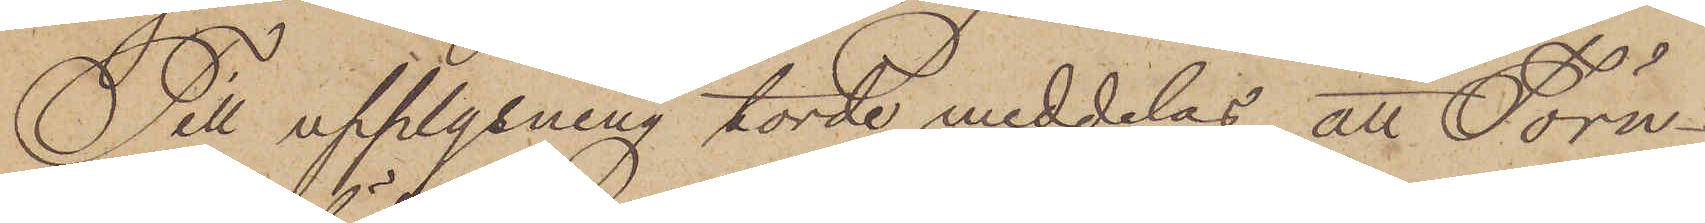Till upplysning torde meddelas, att Törn¬
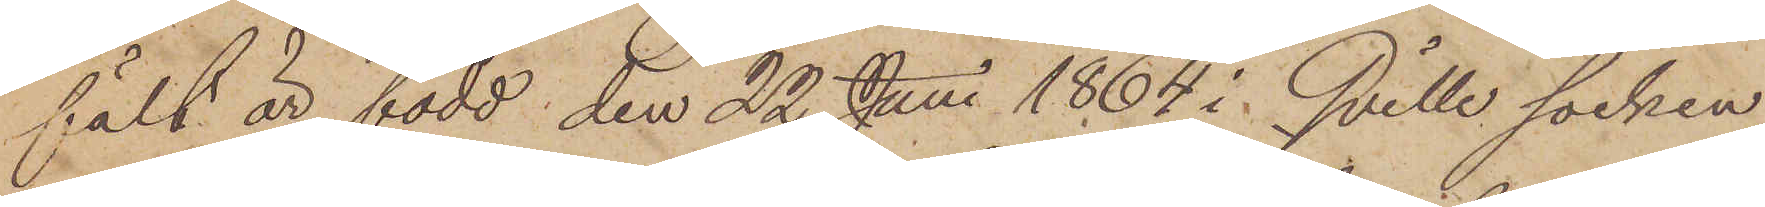fält är född den 22 Juni 1864 i Qville socken.
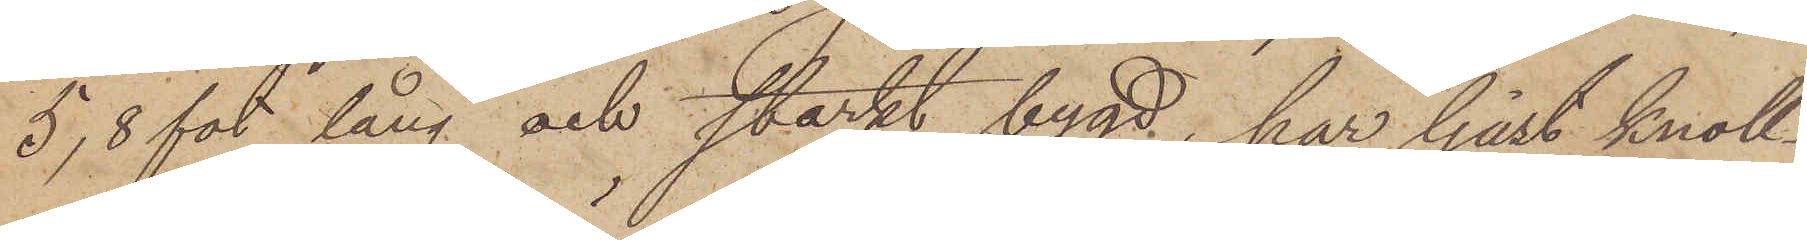5,8 fot lång och starkt bygd, har ljust knoll¬
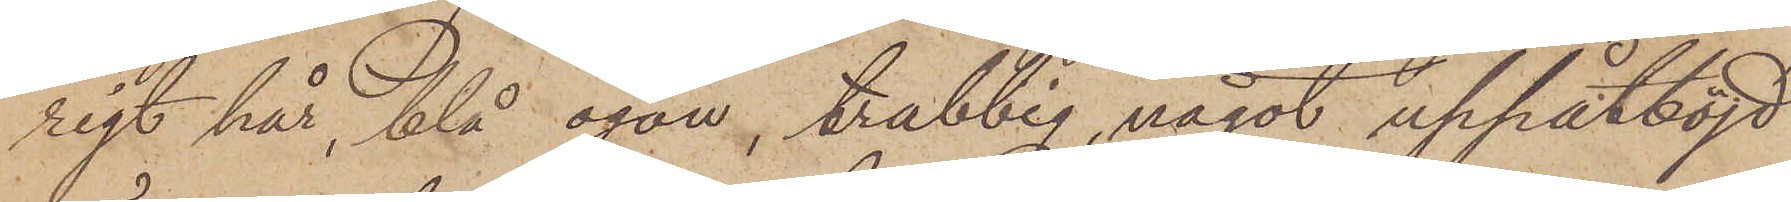rigt hår, blå ögon, trubbig, något uppåtböjd
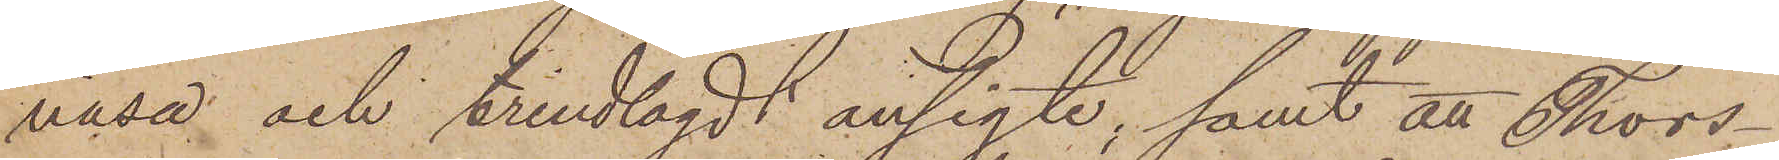näsa och trindlagdt ansigte; samt att Thors¬
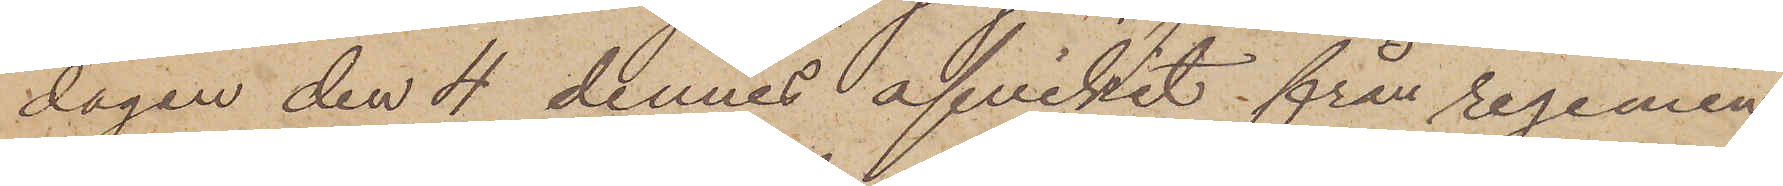dagen den 4 dennes afvikit från regemen¬
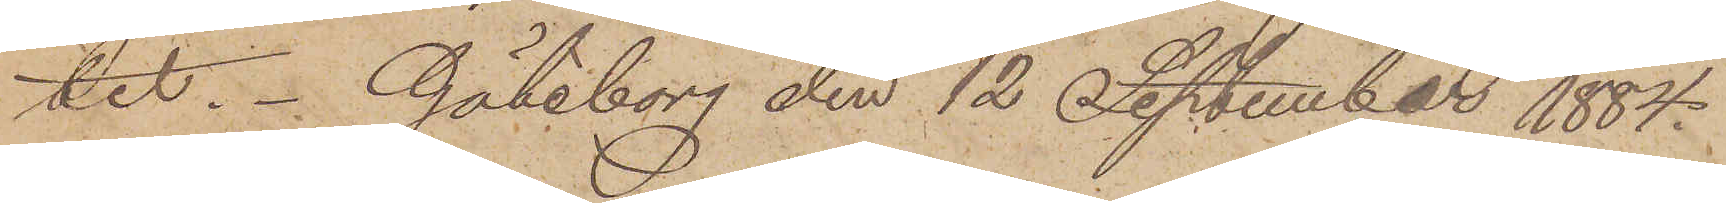tet. Göteborg den 12 September 1884.
